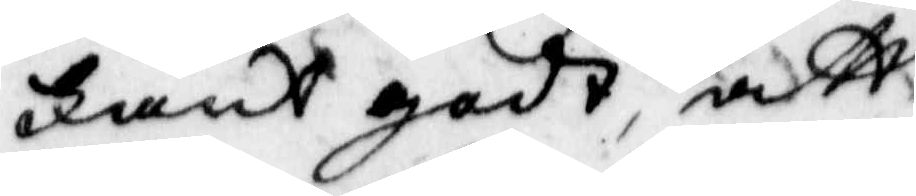Fant godt, att
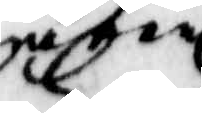någon
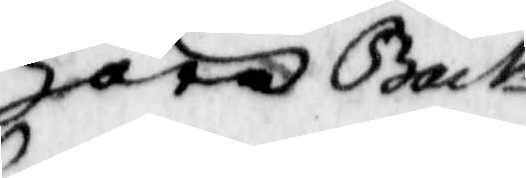hora Back¬
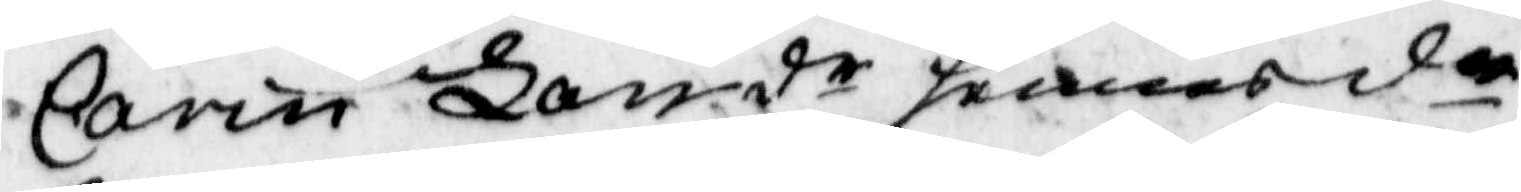Carin Larsdr hennes dr
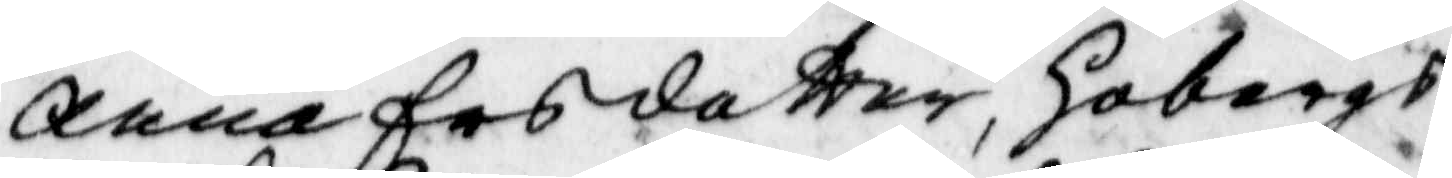Anna Ersdotter, Hobergs
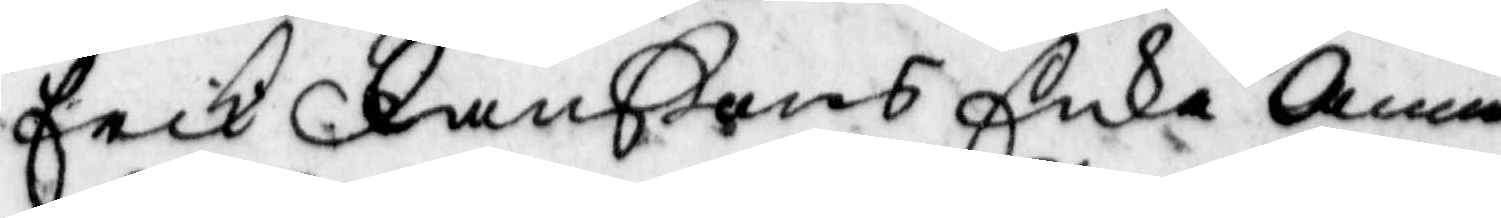erick Danßons Enka Anna
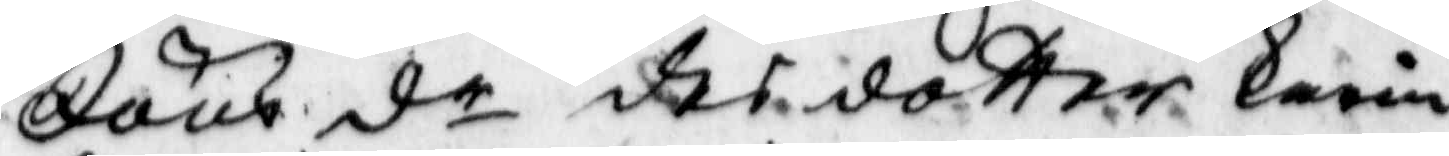Jöns dr des dotter Karin
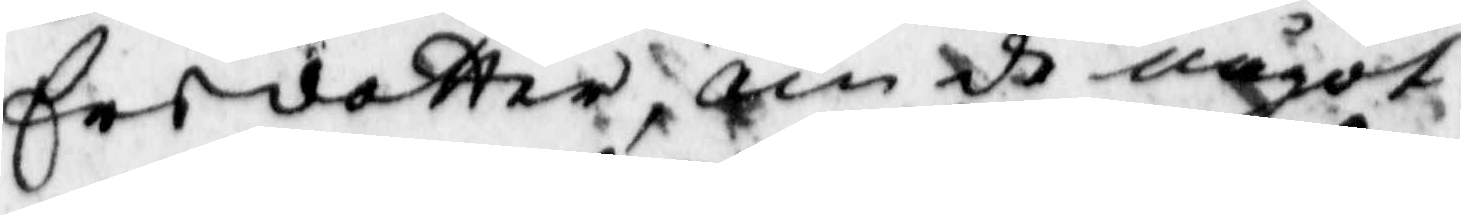Ersdotter, om de något
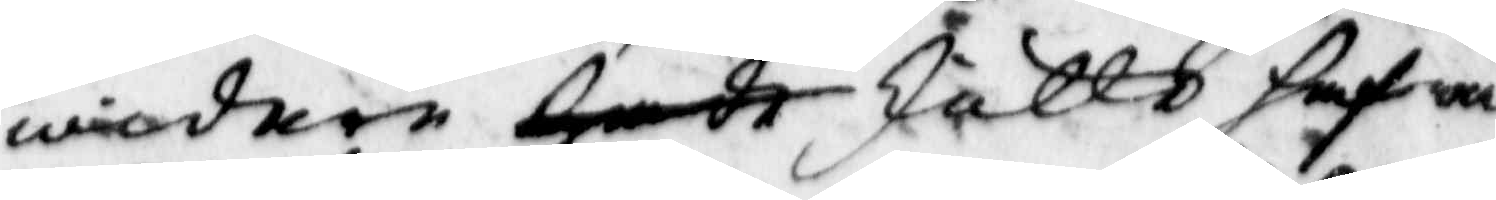widare hade skällt hafwa
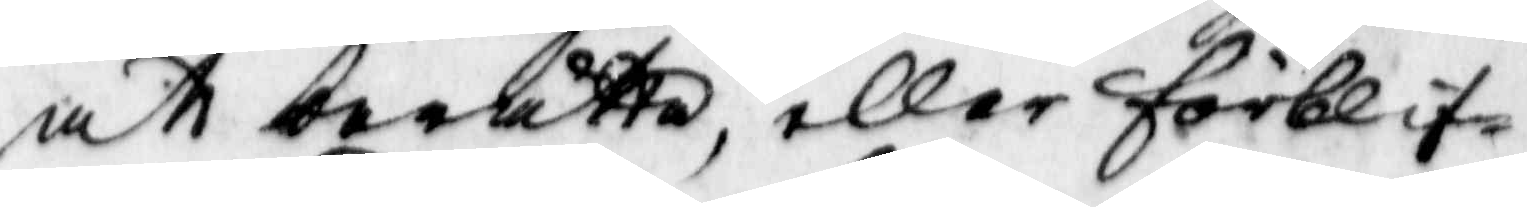att berätta, eller förblif¬
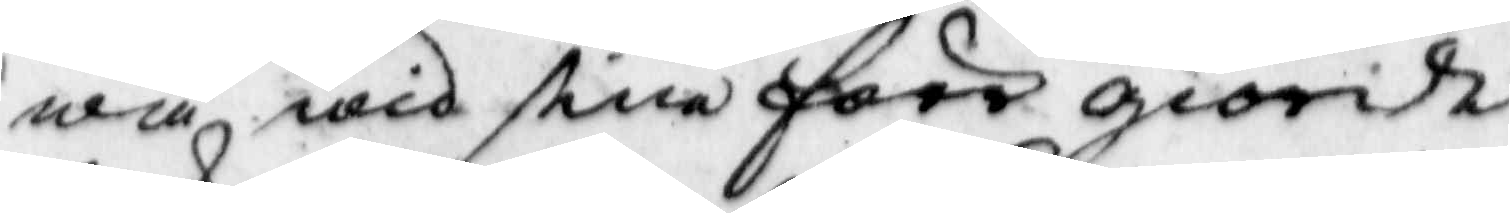wa wid sine förr giorde
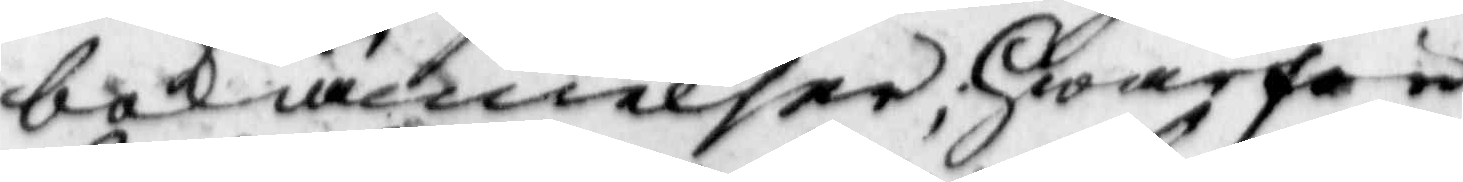bekiännelser, hwarpå
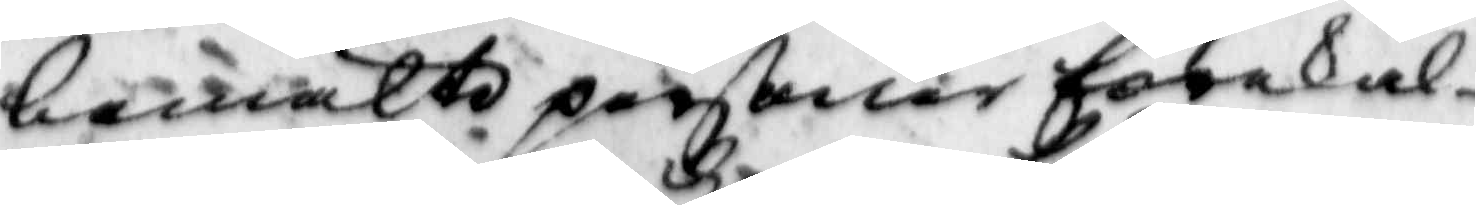bemälte perßoner forekal¬
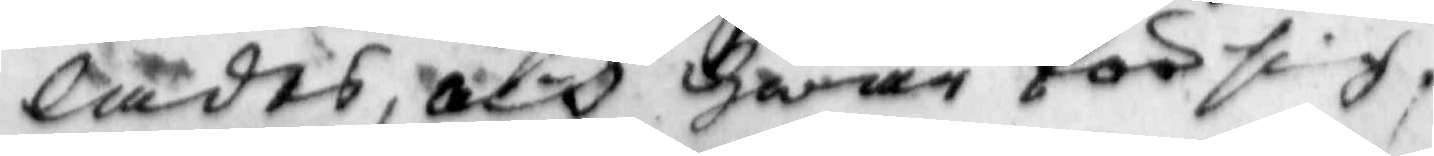lades, och hwar för sig
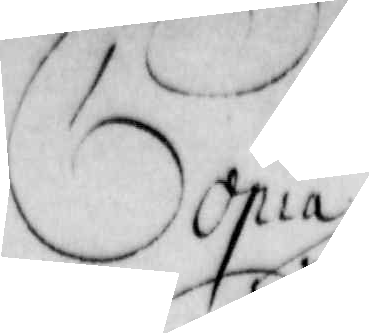Copia
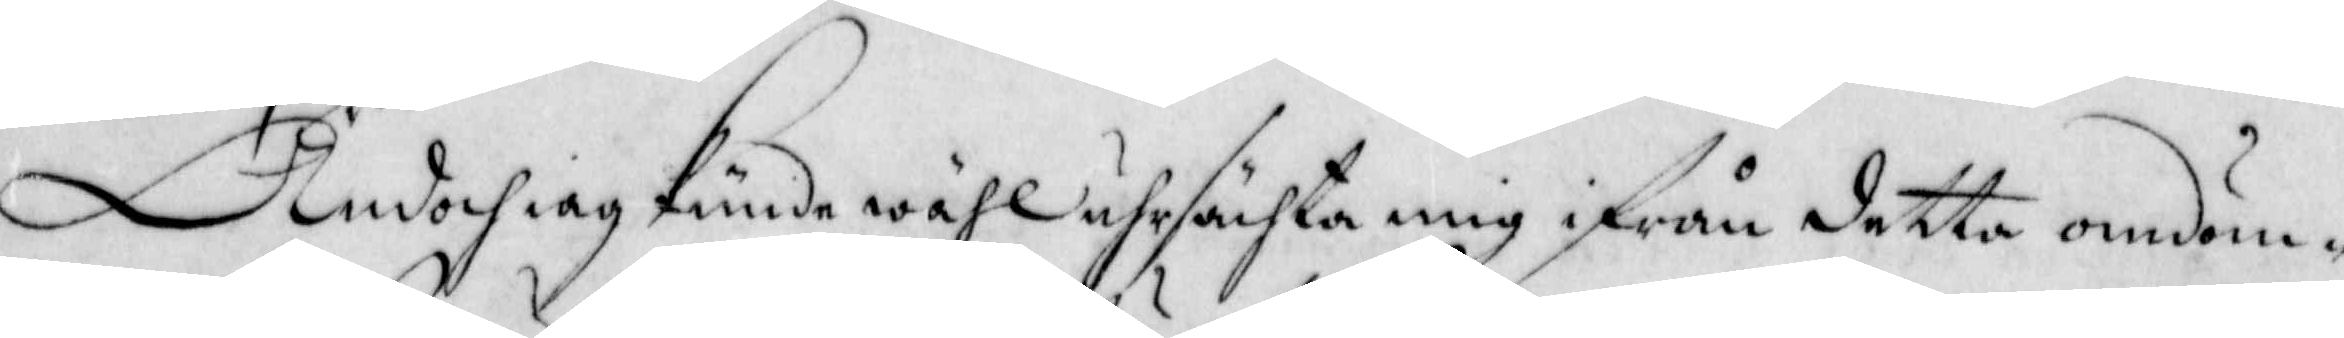Ändoch iag kunde wähl uhrsäkta mig ifrån detta omdöm-
